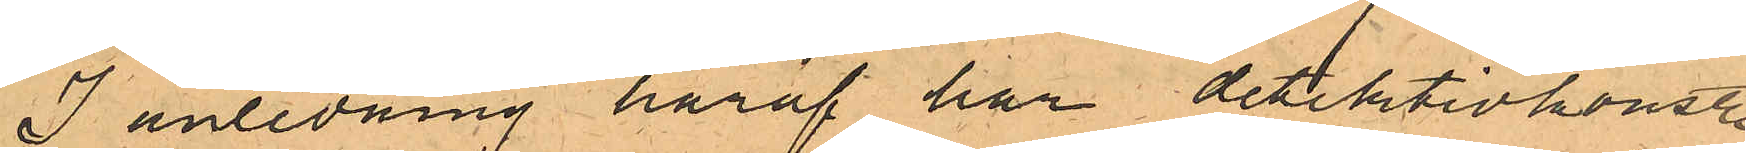I anledning häraf har detektivkonst.
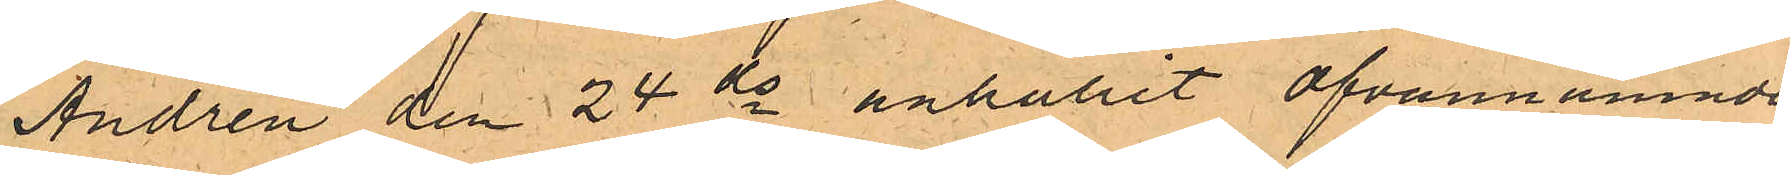Andrén den 24 ds anhållit ofvannämnda
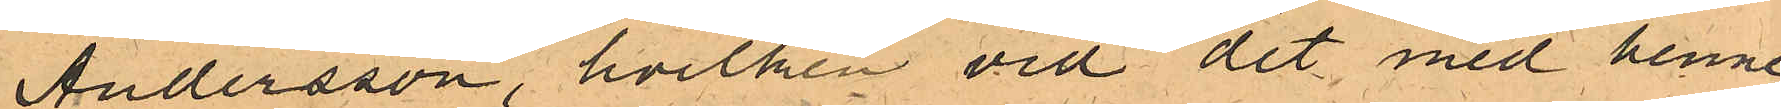Andersson, hvilken vid det med henne
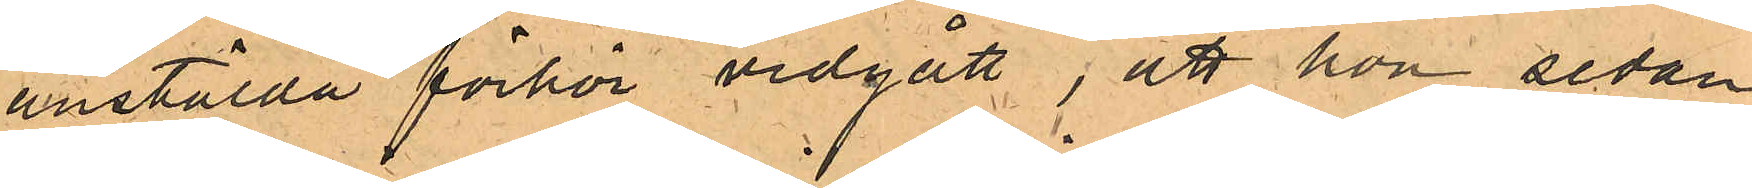anstälda förhör vidgått; att hon sedan
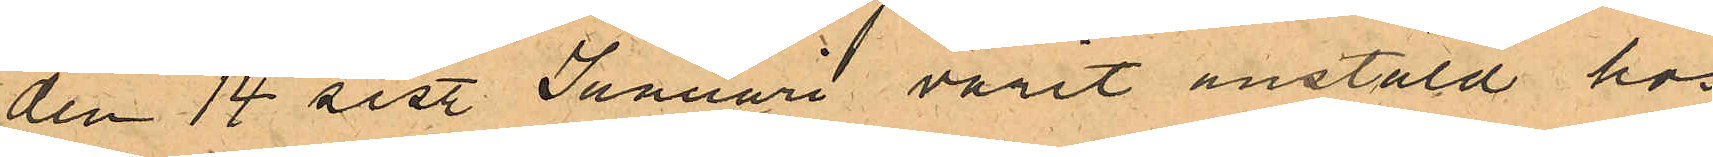den 14 sist. Januari varit anstäld hos
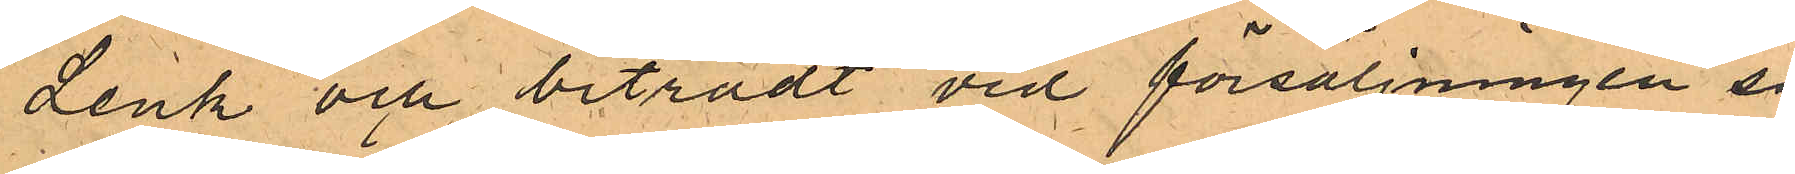Lenk och biträdt vid försäljningen så
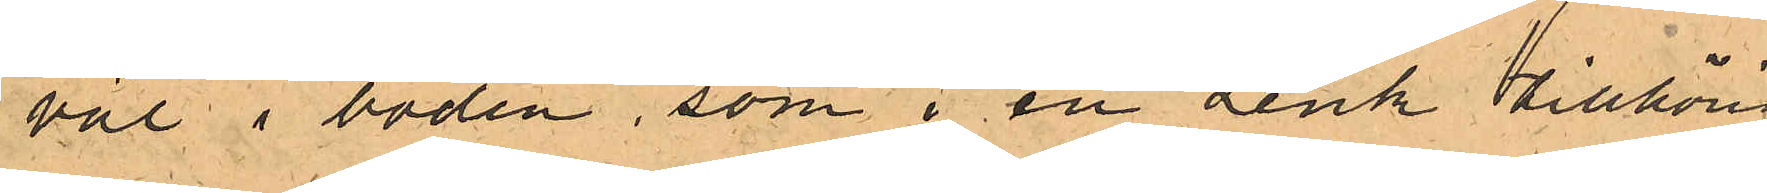väl i boden, som i en Lenk tillhörig
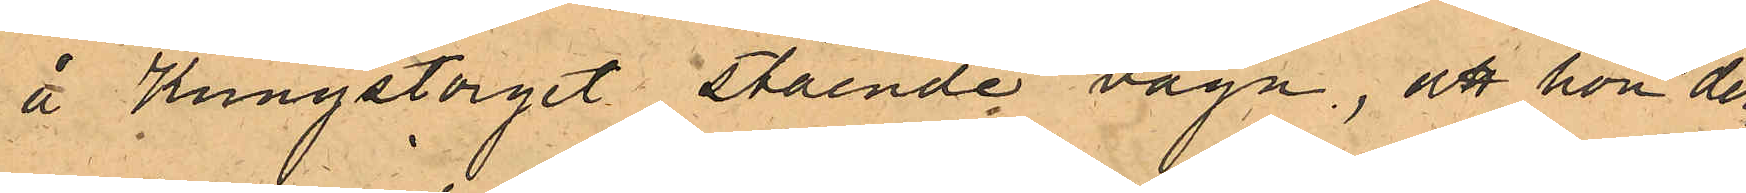å Kungstorget stående vagn, att hon der¬
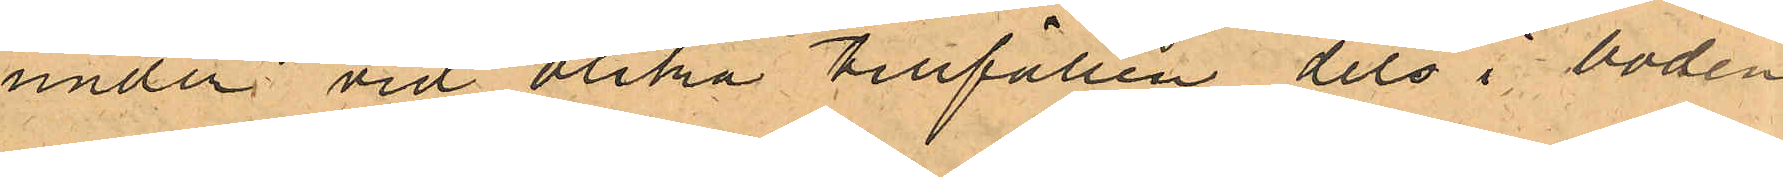under vid olika tillfällen dels i boden
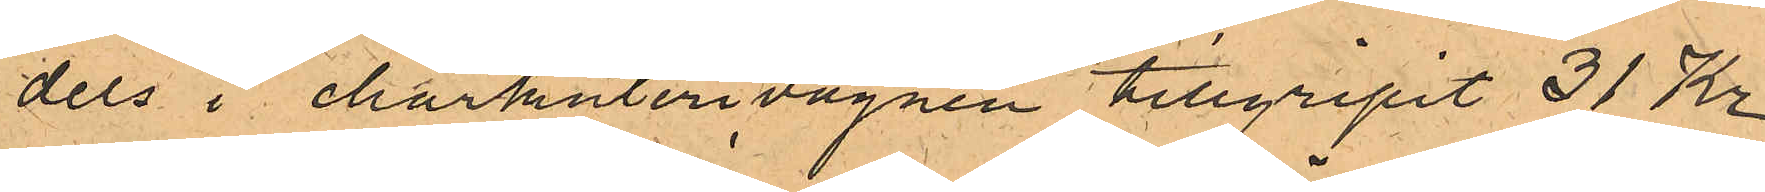dels i charkuterivagnen tillgripit 31 Kr,
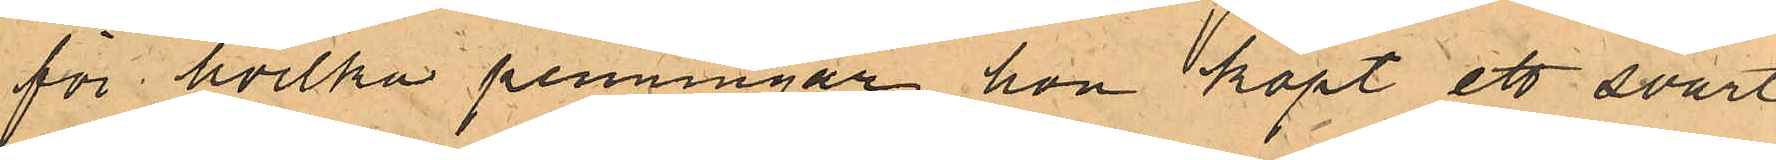för hvilka penningar hon köpt ett svart
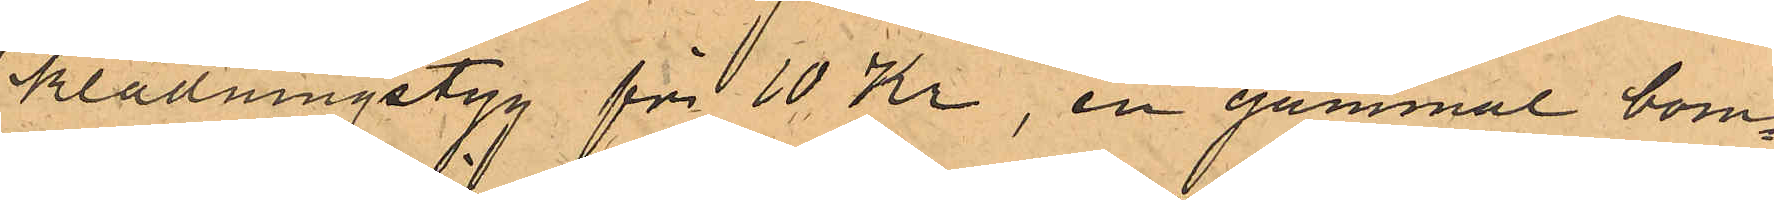klädningstyg för 10 Kr, en gammal bom¬
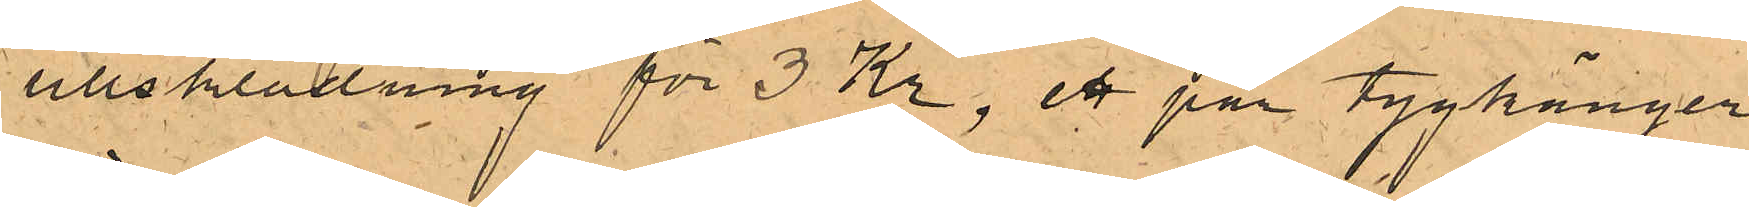ullsklädning för 3 Kr, ett par tygkänger
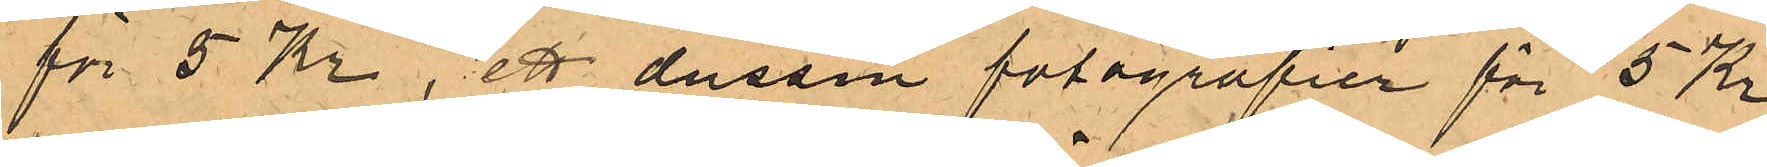för 5 Kr, ett dussin fotografier för 5 Kr
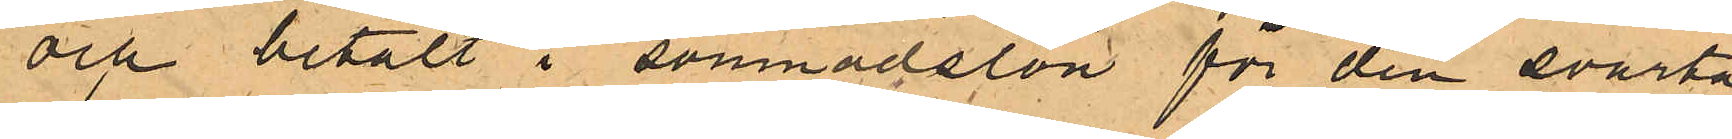och betalt i sömnadslön för den svarta
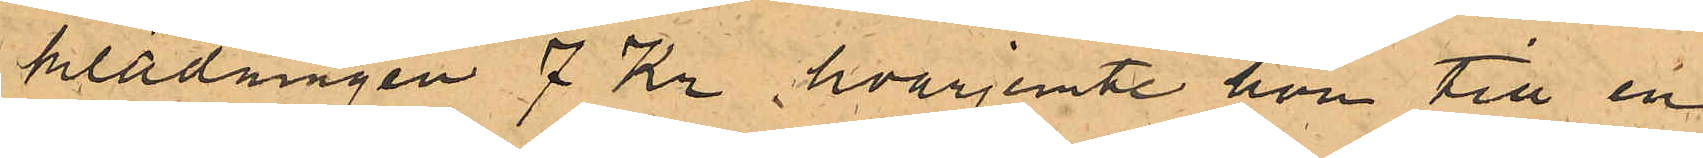klädningen 7 Kr, hvarjemte hon till en
